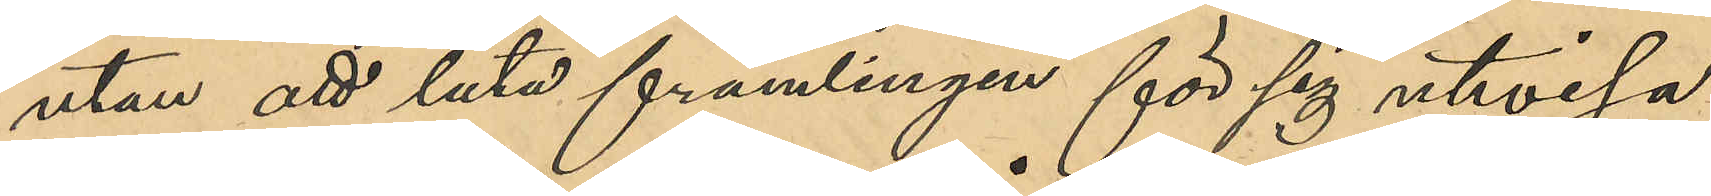utan att låta främlingen för sig utvisa
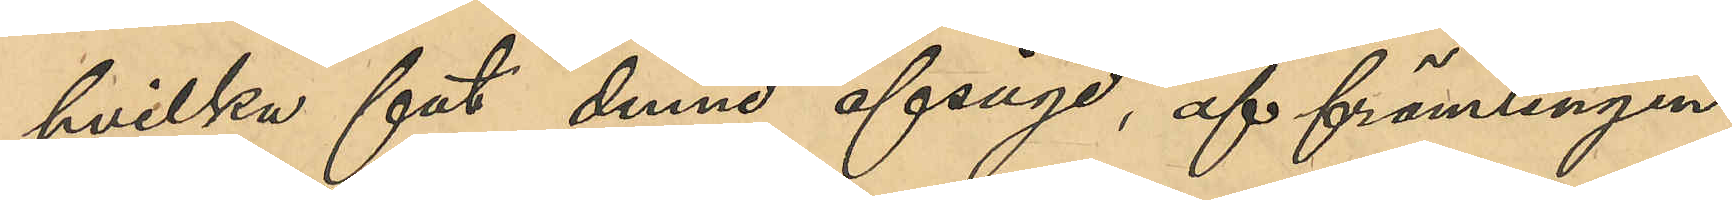hvilka fat denne afsågo, af främlingen
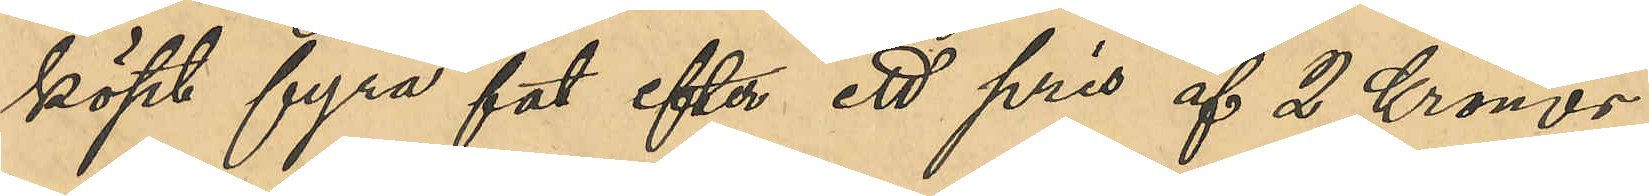köpt fyra fat efter ett pris af 2 Kronor
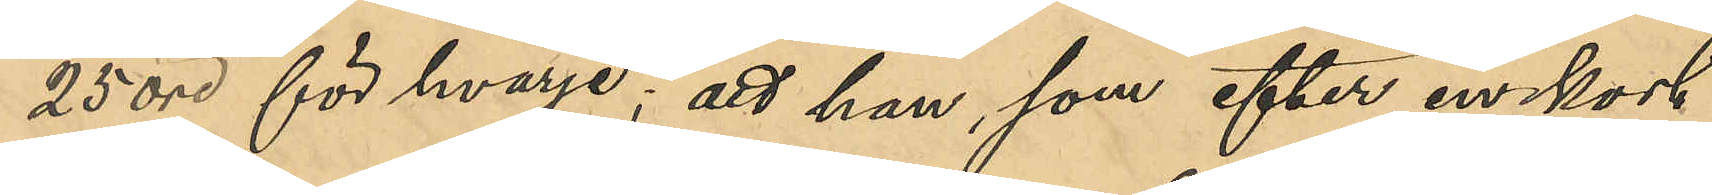25 öre för hvarje; att han som efter en kort
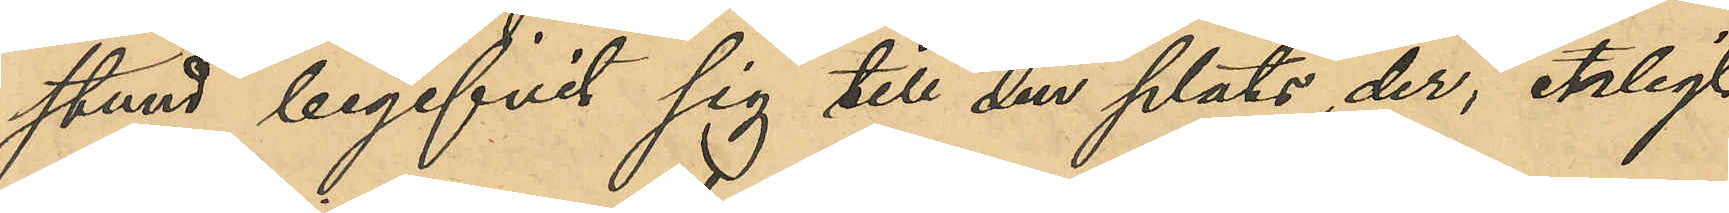stund begifvit sig till den plats, der enligt
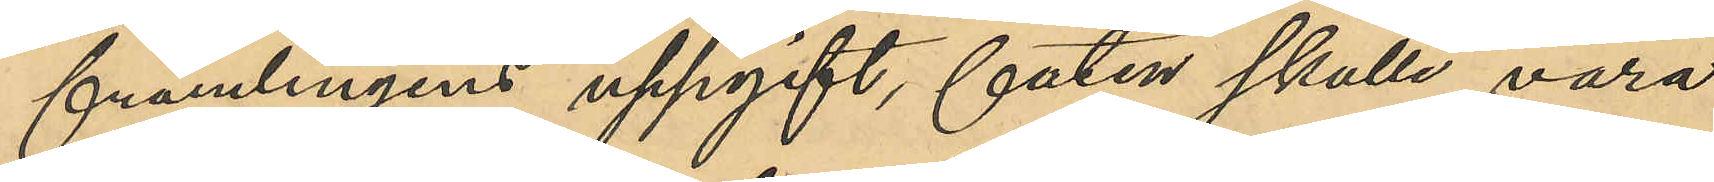främlingens uppgift, faten skulle vara
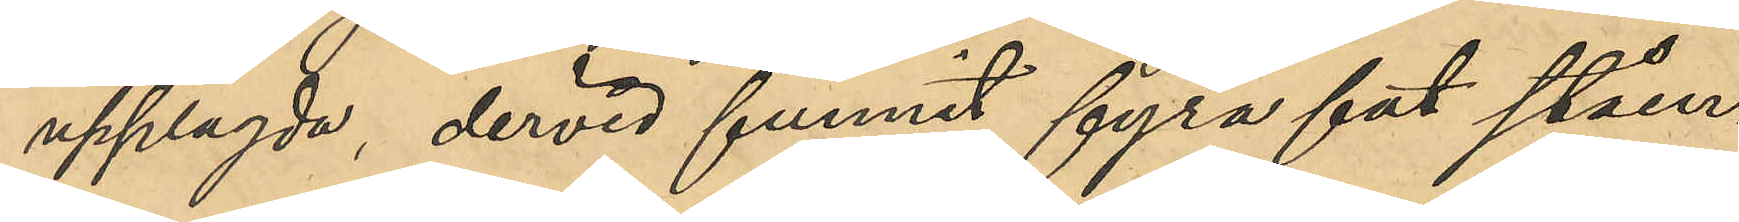upplagda, dervid funnit fyra fat ståen¬
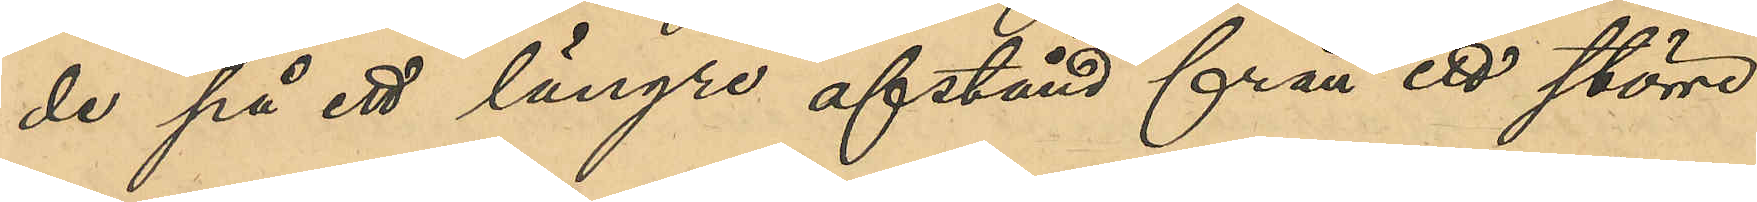de på ett längre afstånd från ett större
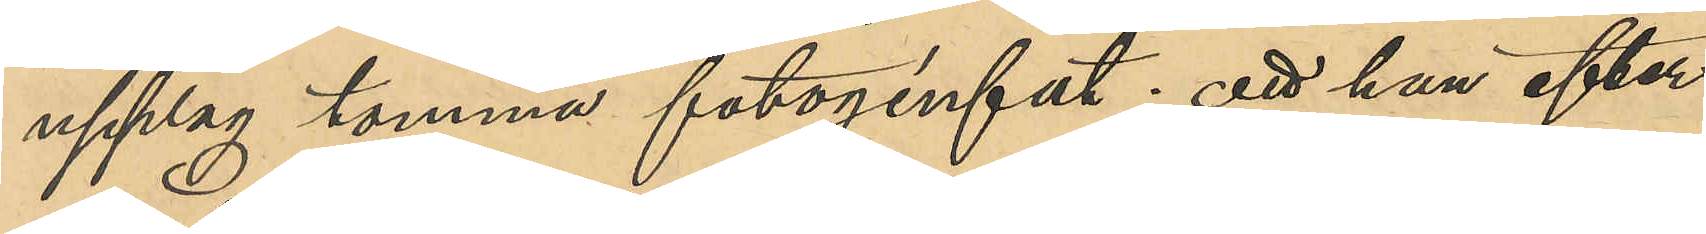upplag tomma fotogenfat; att han efter
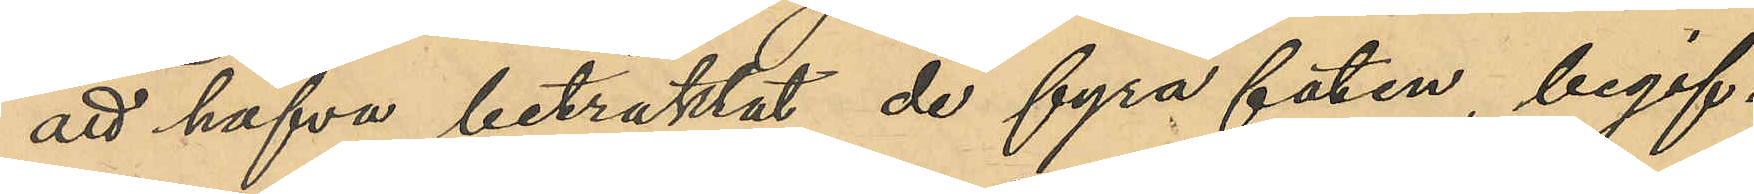att hafva betraktat de fyra faten, begif¬
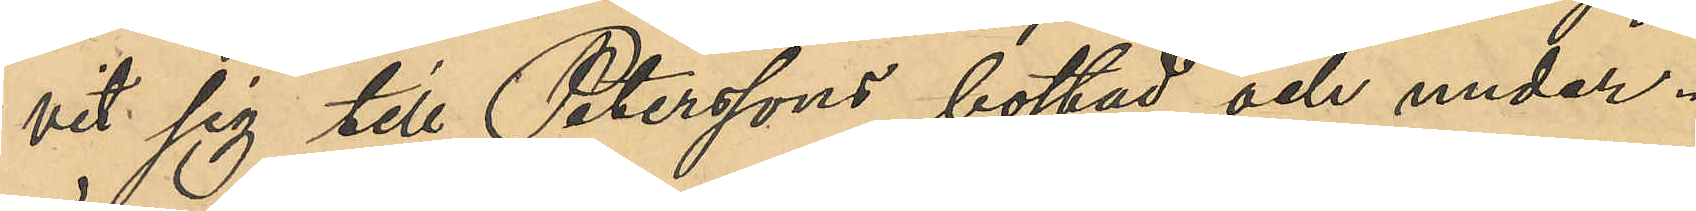vit sig till Peterssons bostad och under¬
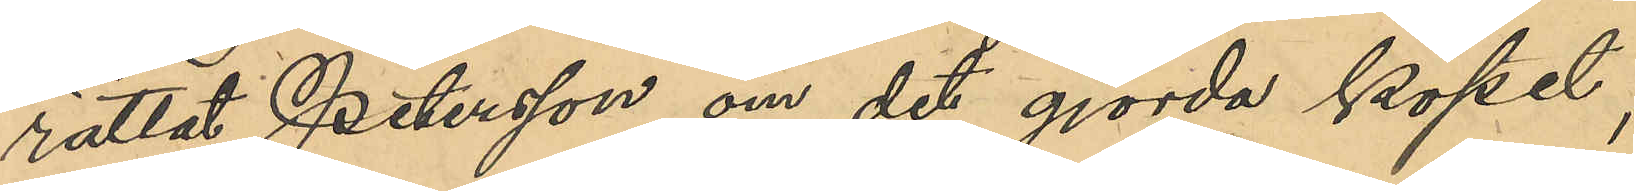rättat Petersson om det gjorda köpet;
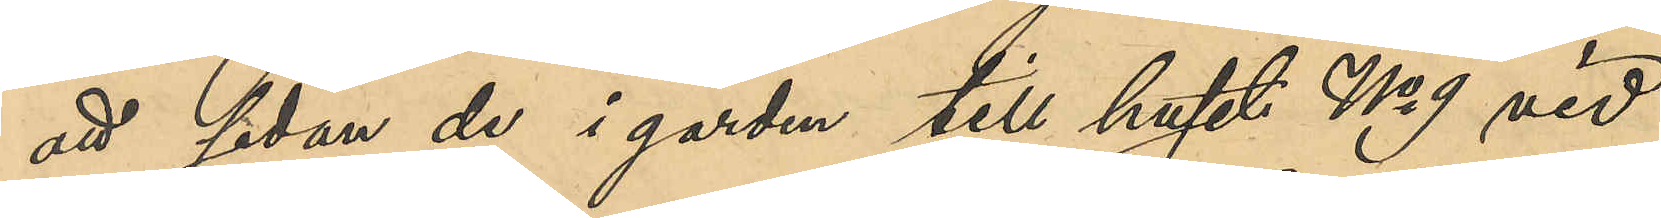att sedan de i gården till huset No 9 vid
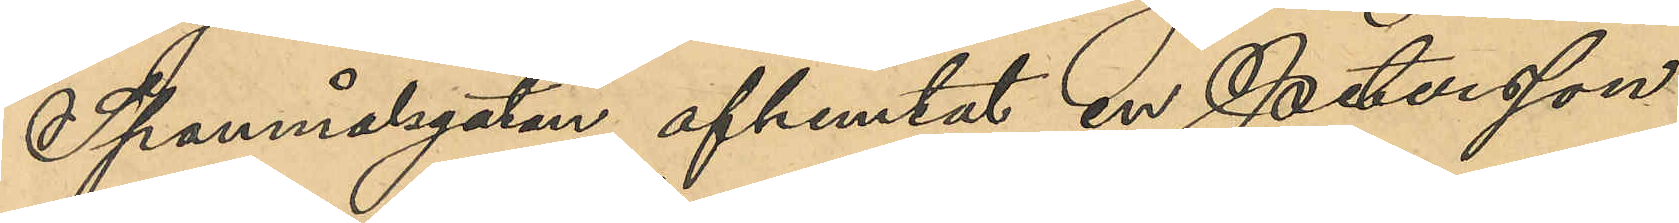Spannmålsgatan afhemtat en Peterssons
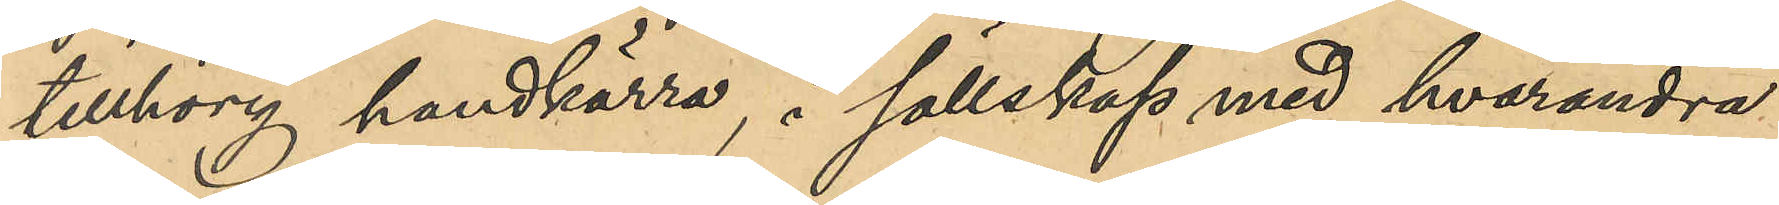tillhörig handkärra, i sällskap med hvarandra
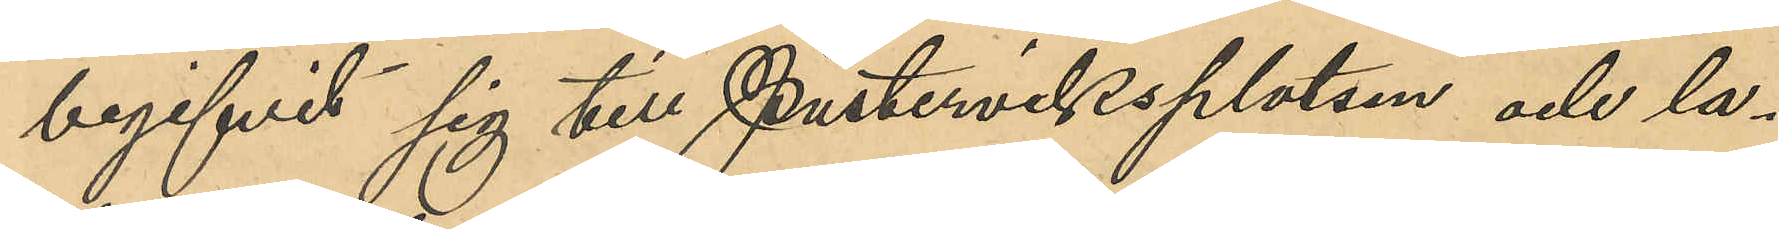begifvit sig till Pusterviksplatsen och la¬
